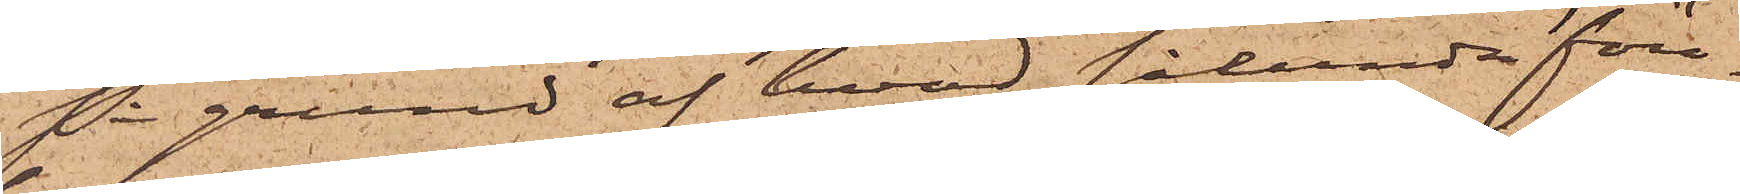På grund af hvad sålunda före¬
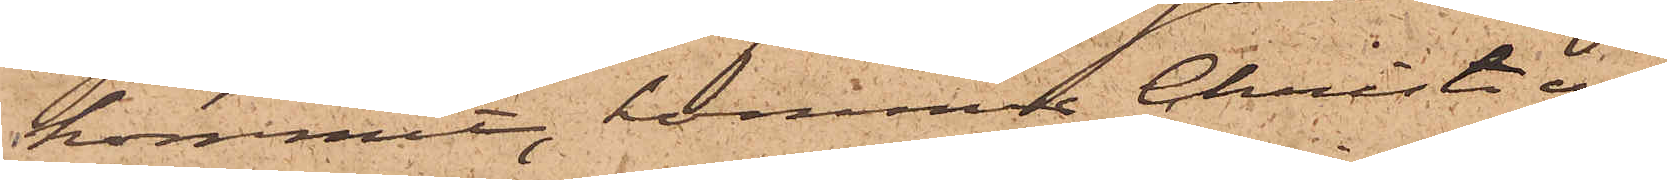kommit, kommer Christian
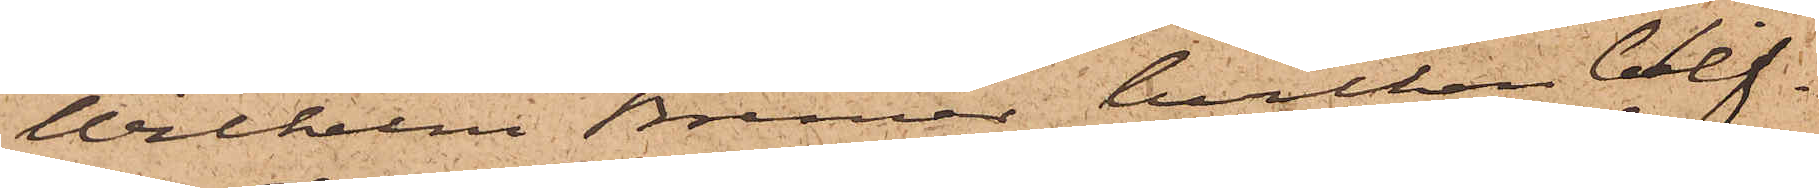Wilhelm Bremer, hvilken blif¬
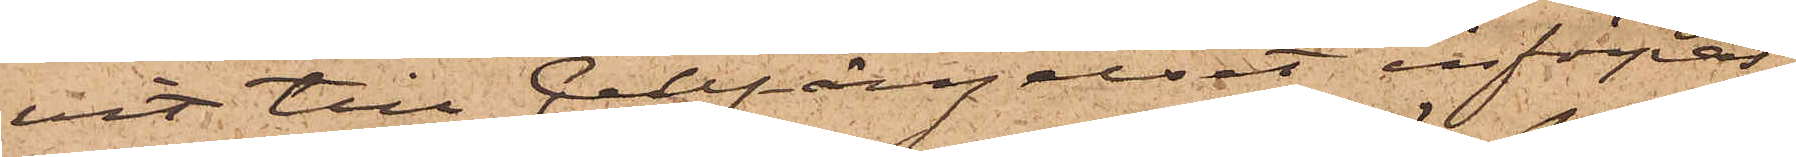vit till Cellfängelset införpas¬
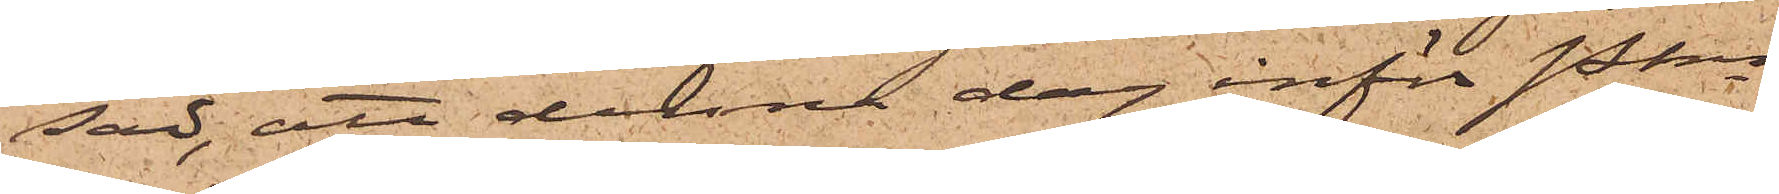sad, att denna dag inför Pkn
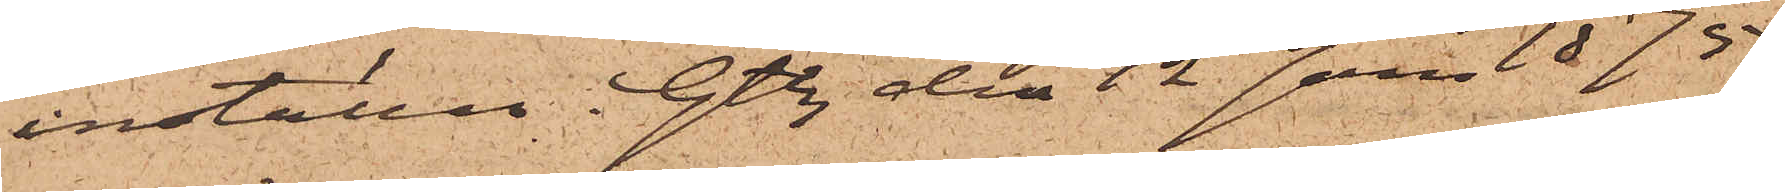inställas. Gtbg den 12 Jan 1875.
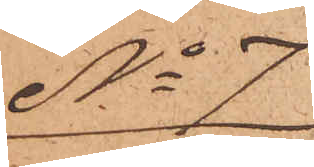No 7
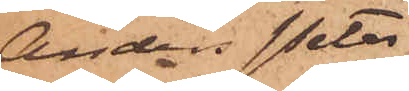Anders Peter
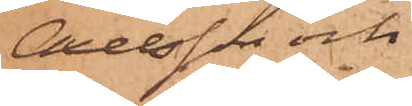Axelsson och
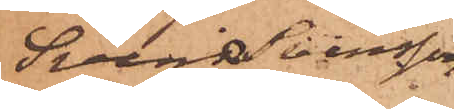Sven Svensson
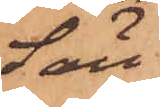Säll
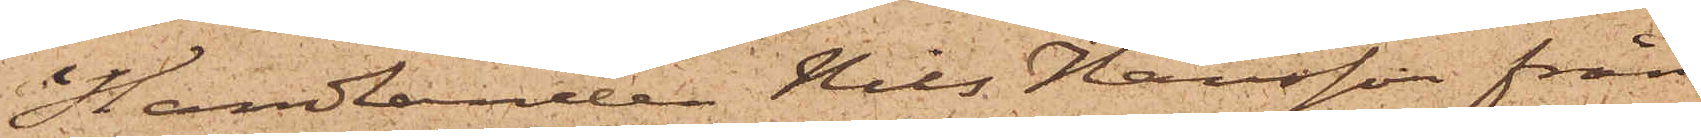Handlanden Nils Hansson från
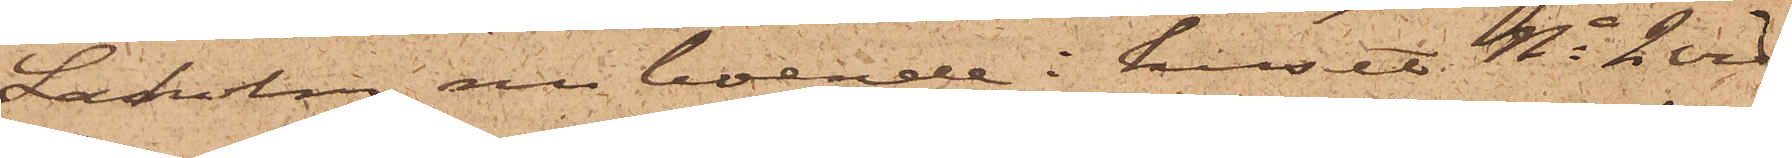Laholm, nu boende i huset No 2 vid
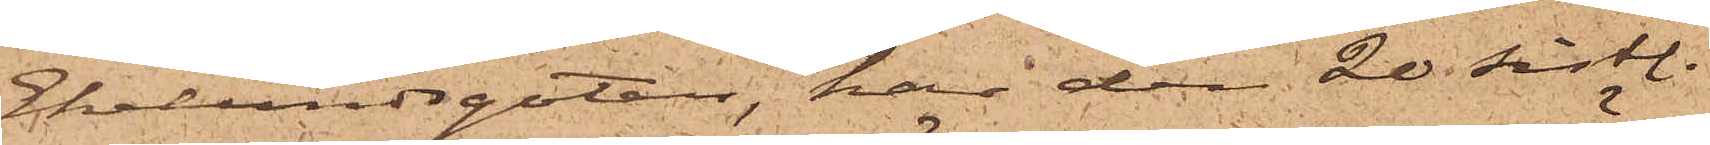Ekelundsgatan, har den 20 sistl.
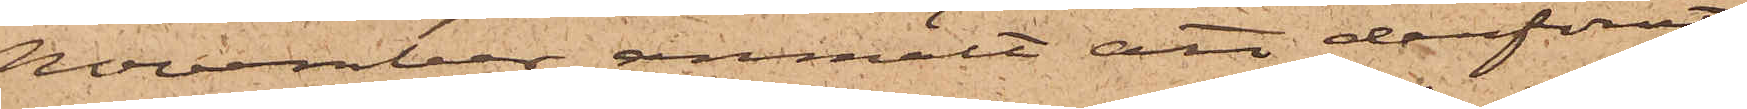November anmält att derförut¬
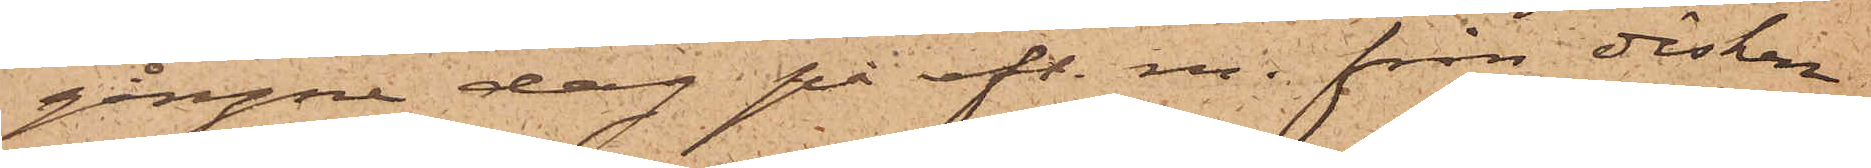gångne dag på eft. m. från disken
